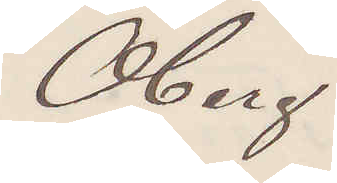Öberg
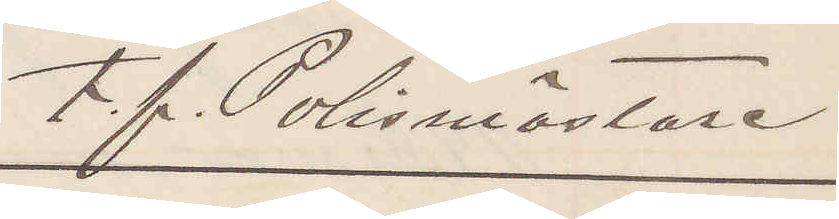t. f. Polismästare
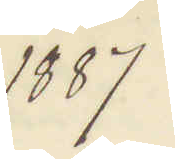1887
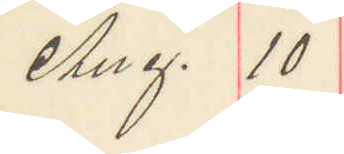Aug. 10
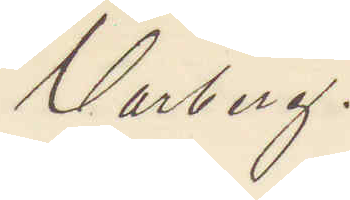Varberg.
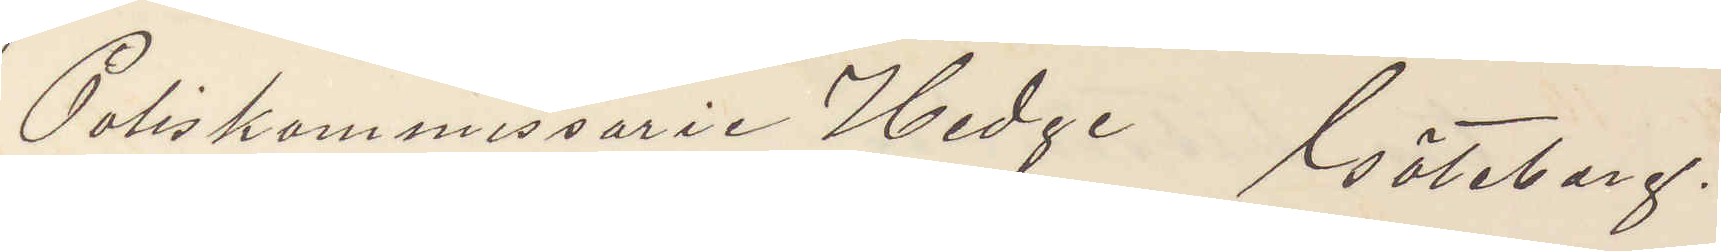Poliskommissarie Hedge Göteborg.
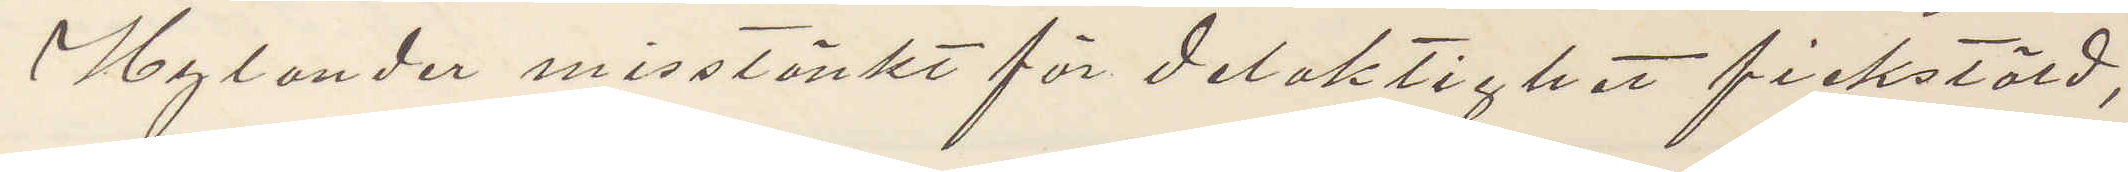Hylander misstänkt för delaktighet fickstöld,
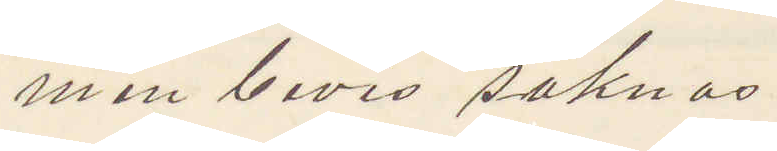men bevis saknas.
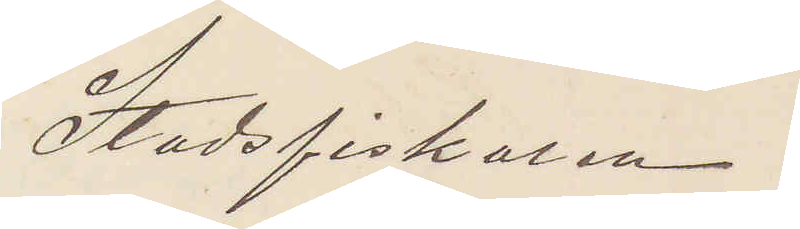Stadsfiskalen.
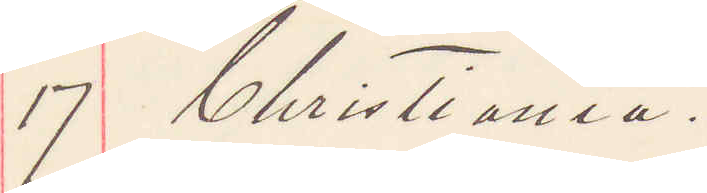17 Christiania.
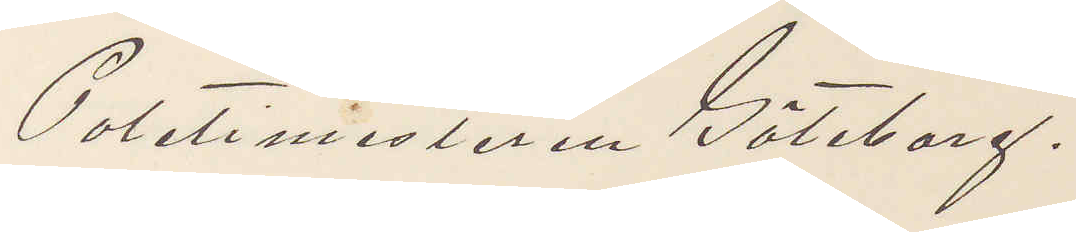Poletimesteren Göteborg.
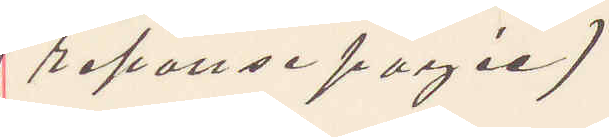(reponse pagie)
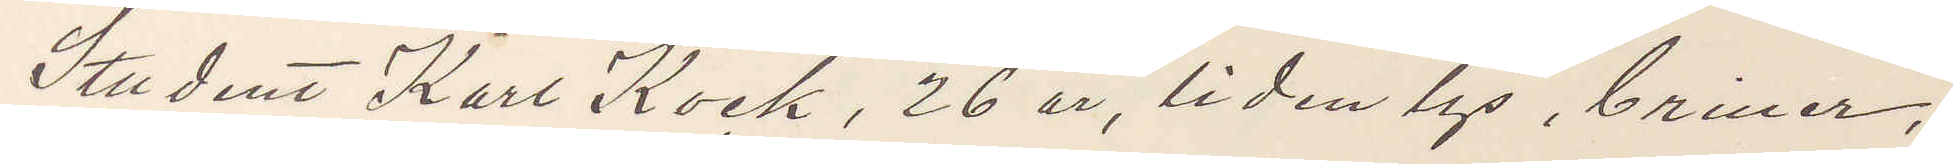Student Karl Kock, 26 år, liden lys, briller,
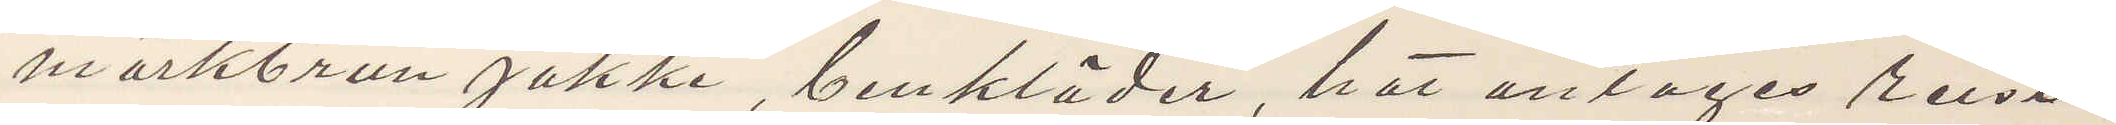mörkbrun jakke, benkläder, hat antages reist
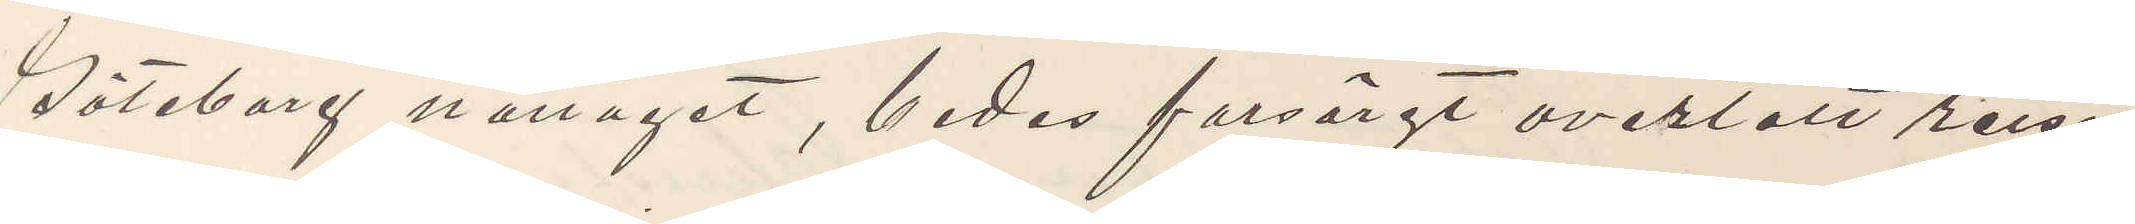Göteborg nattaget, bedes forsärgt overtatt reise
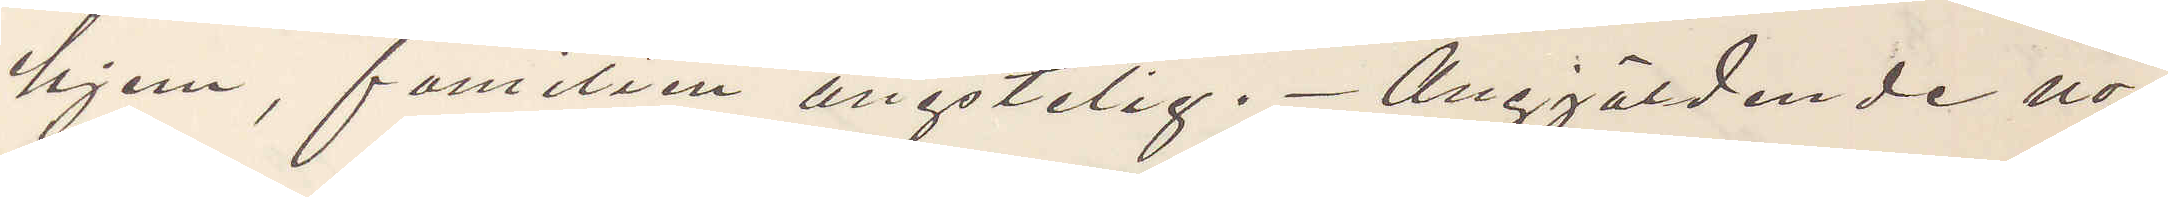hjem, familien ångstelig. Angjäldende no¬
